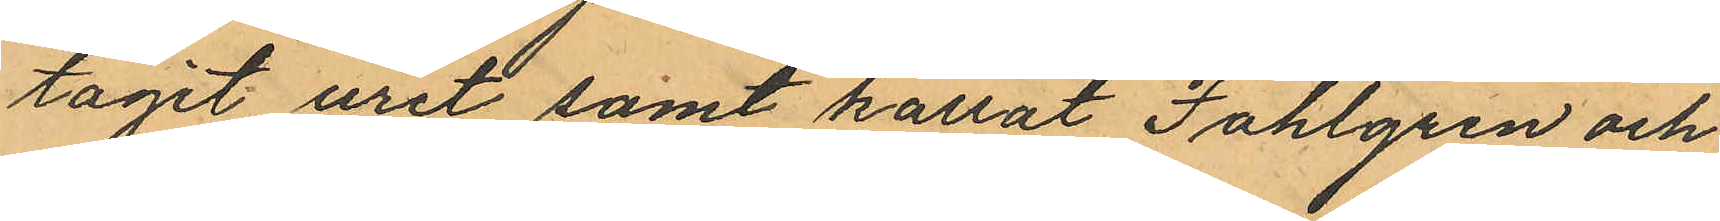tagit uret samt kallat Fahlgren och
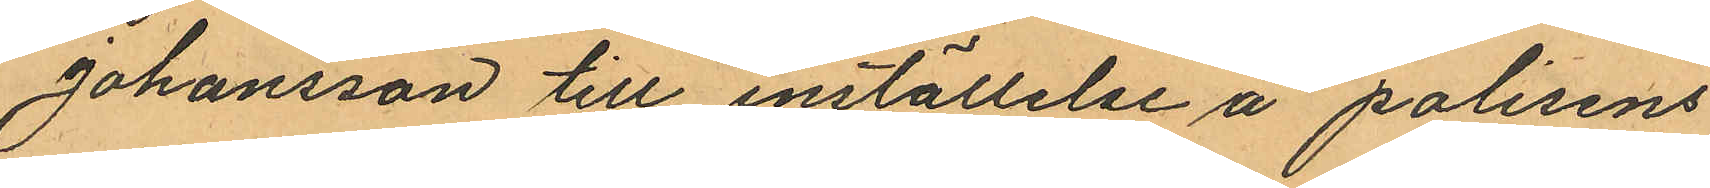Johansson till inställelse å polisens
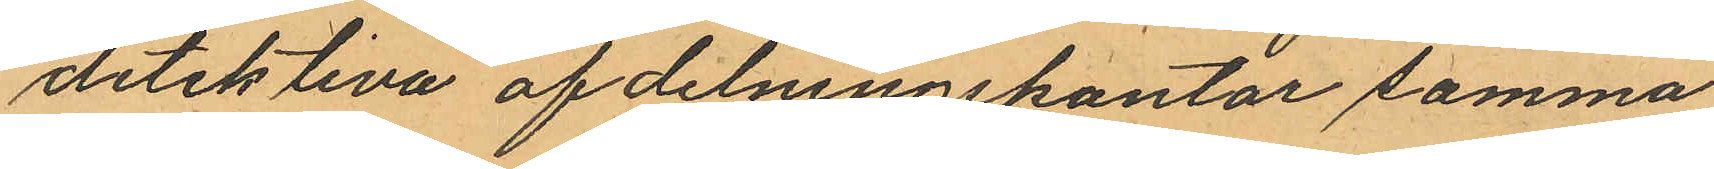detektiva af delningskontor samma
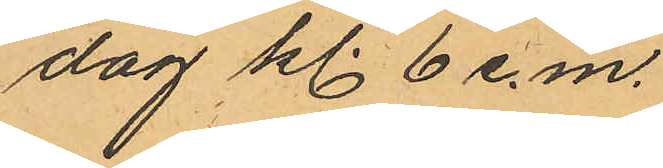dag kl. 6 e.m.
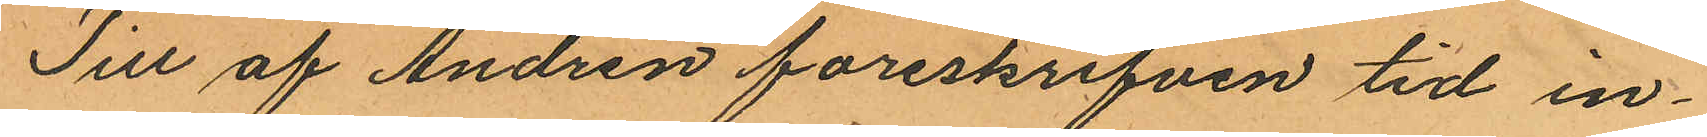Till af Andrén föreskrifven tid in¬
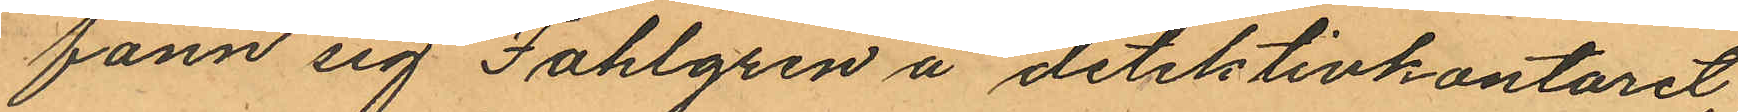fann sig Fahlgren å detektivkontoret,
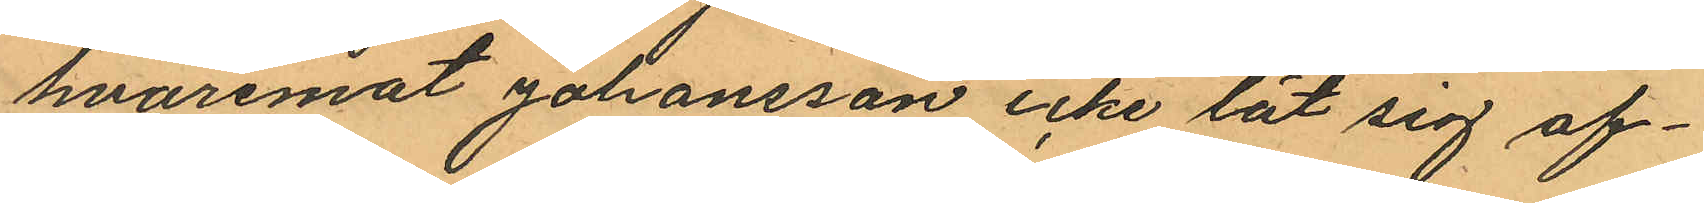hvaremot Johansson icke lät sig af¬
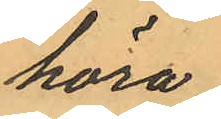höra.
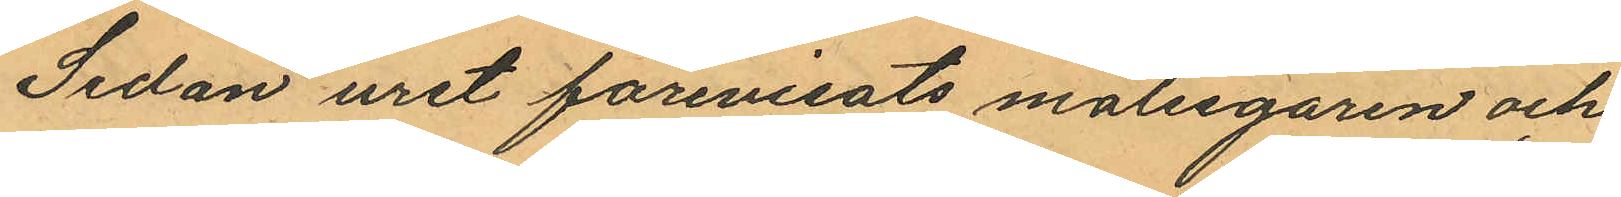Sedan uret förevisats målsegaren och
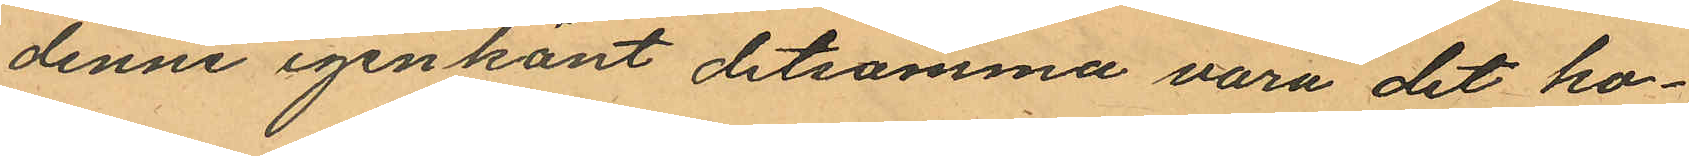denne igenkänt detsamma vara det ho¬
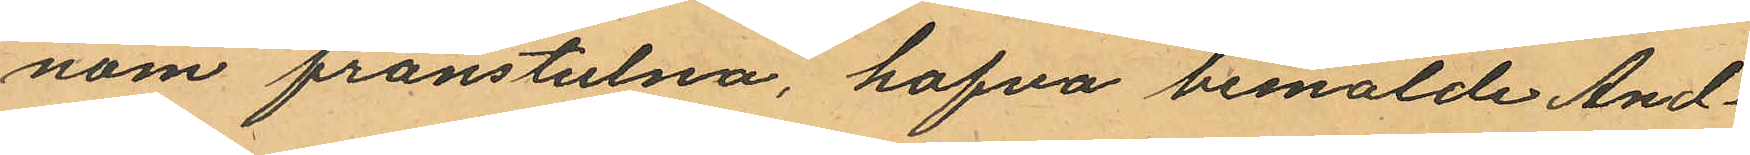nom frånstulna, hafva bemälde And¬
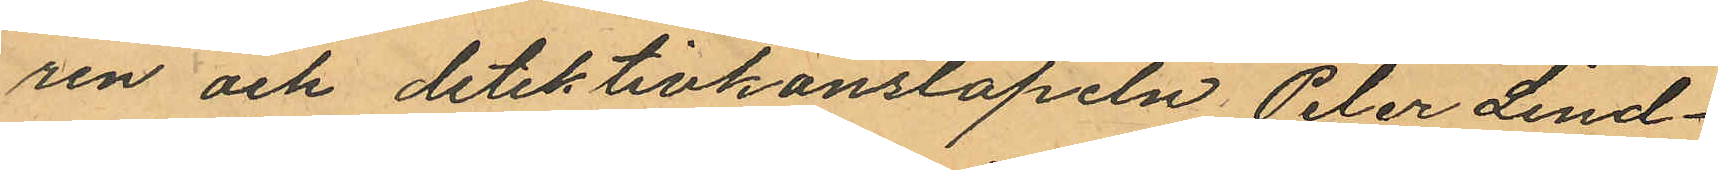ren och detektivkonstapeln Peter Lind¬
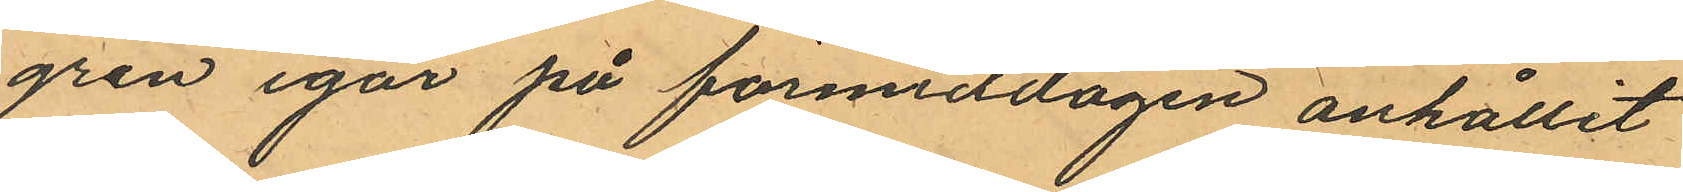gren igår på förmiddagen anhållit
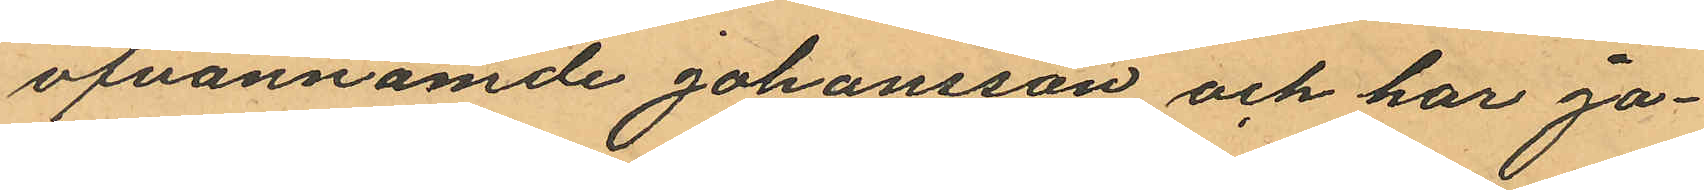ofvannämde Johansson och har Jo¬
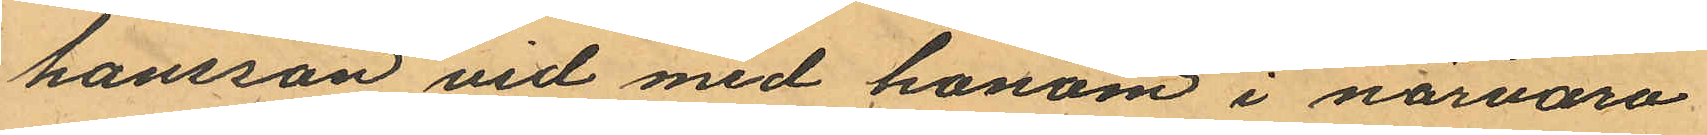hansson vid med honom i närvaro
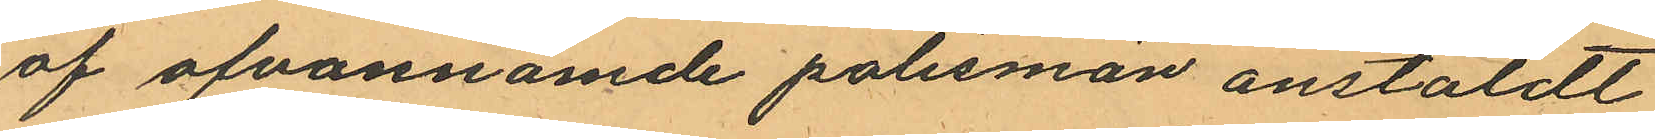af ofvannämde polismän anstäldt
